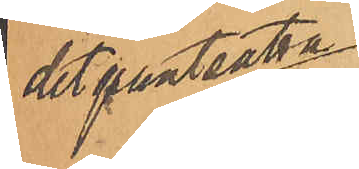det pantsatta 
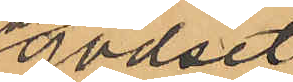godset
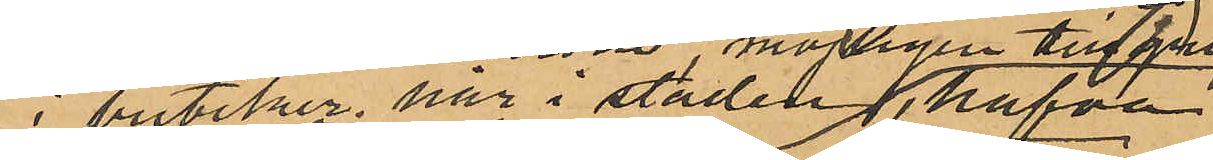i butiker här i staden, 
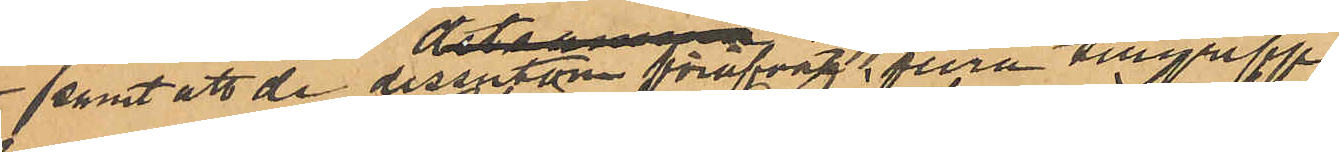samt att de dessutom föröfvat flera tillgrepp.
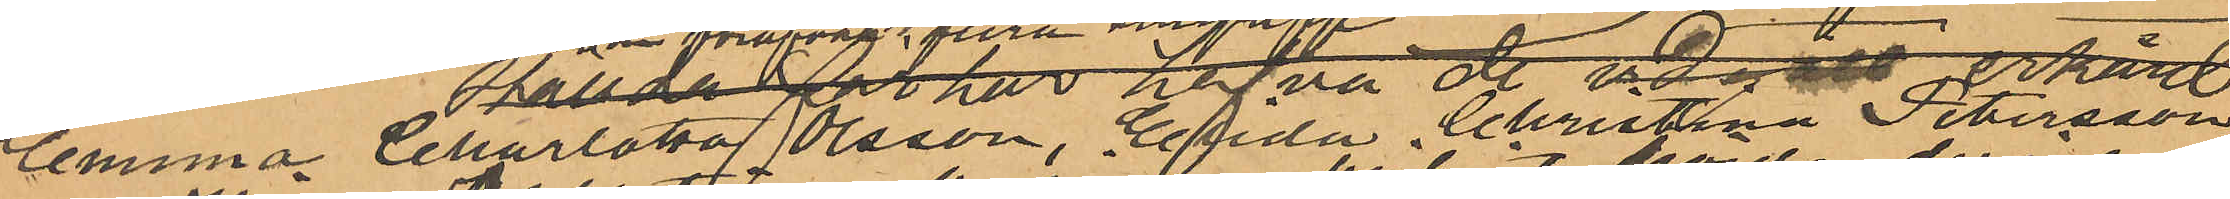Emma Charlotta Olsson, Elida Christna Petersson
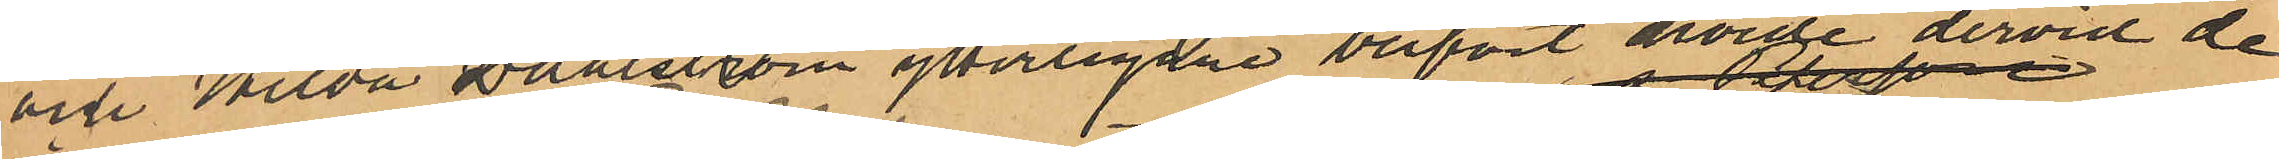och Hilda Dahlström ytterligare blifvit hörde dervid de
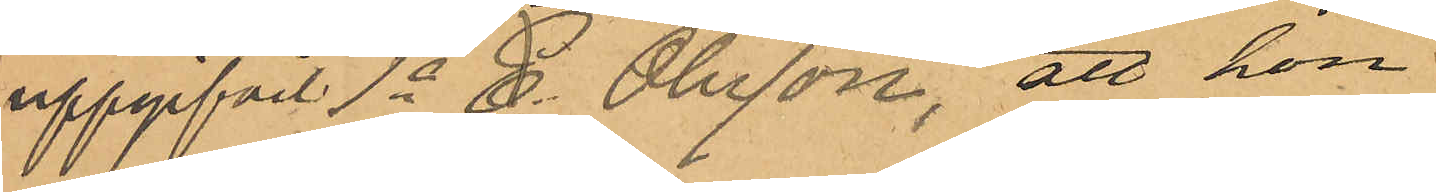uppgifvit 1o C. Olsson, att hon
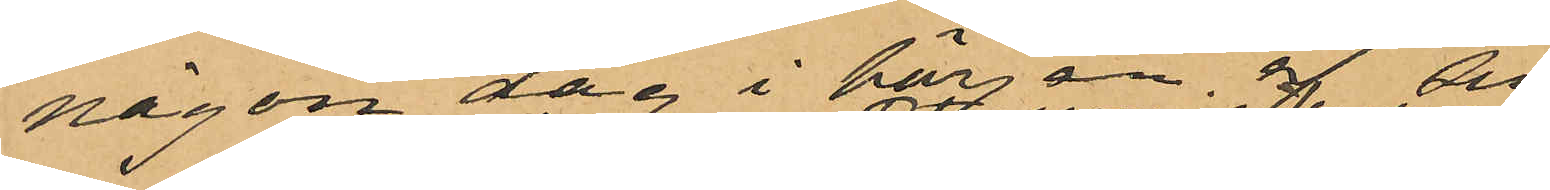någon dag i början af 
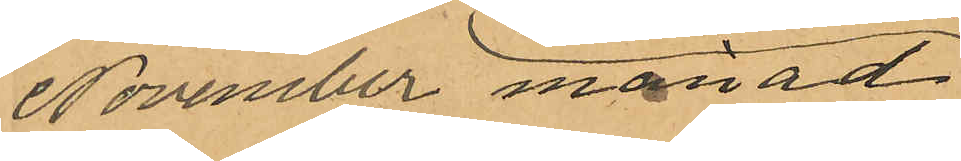November månad
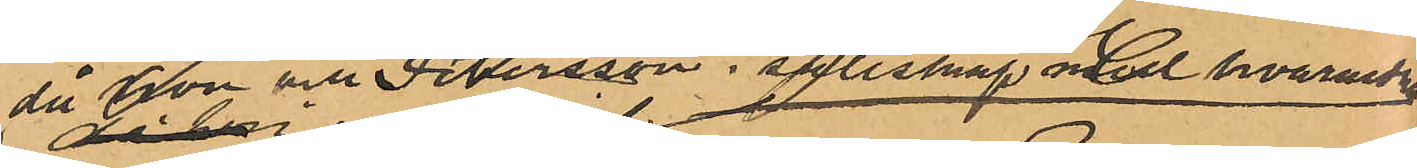då hon och Petersson i sällskap med hvarandra
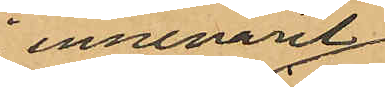innevarit
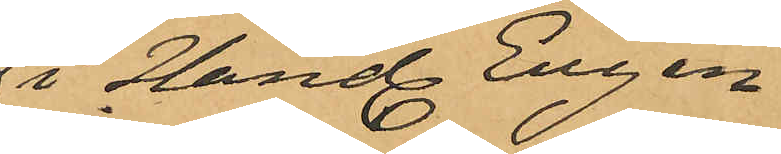i Hand Engens
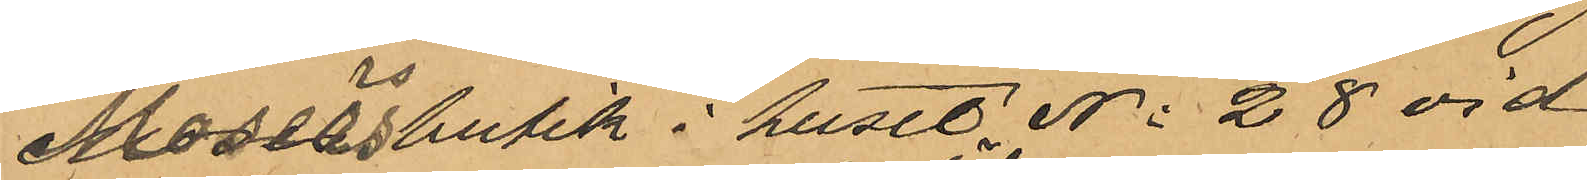Modesbutik i huset No 28 vid
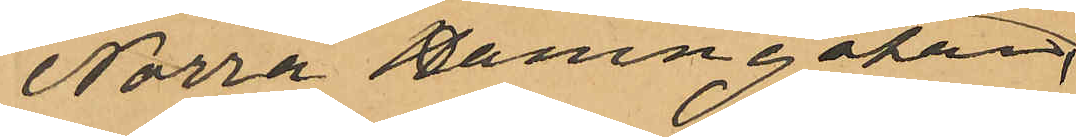Norra Hamngatan
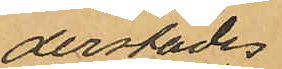derstädes
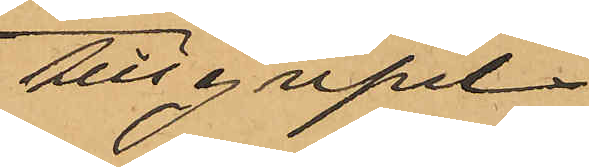tillgripit
